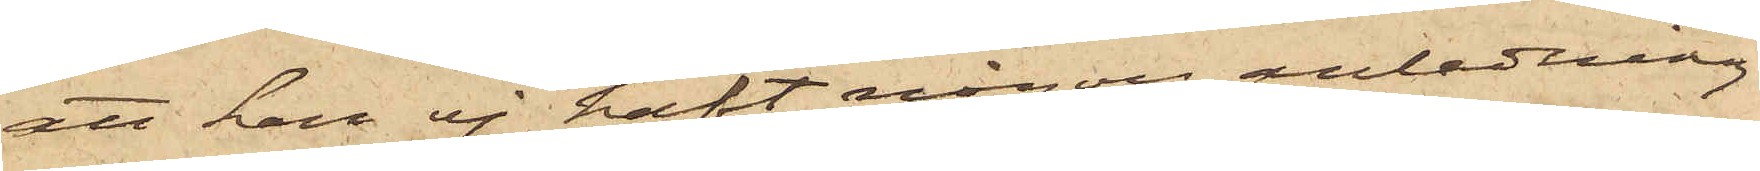att han ej haft någon anledning
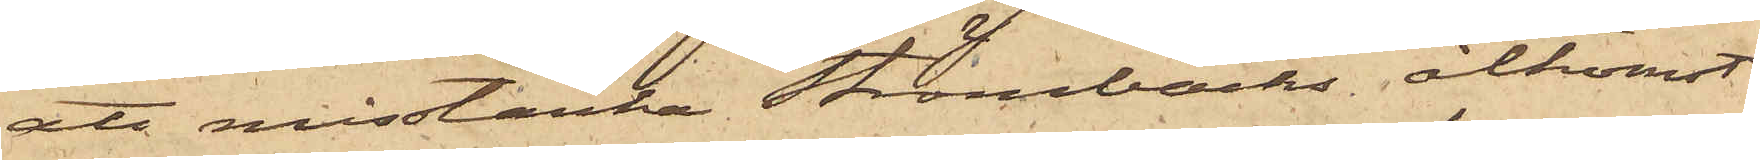att misstänka Strömbäcks åtkomst
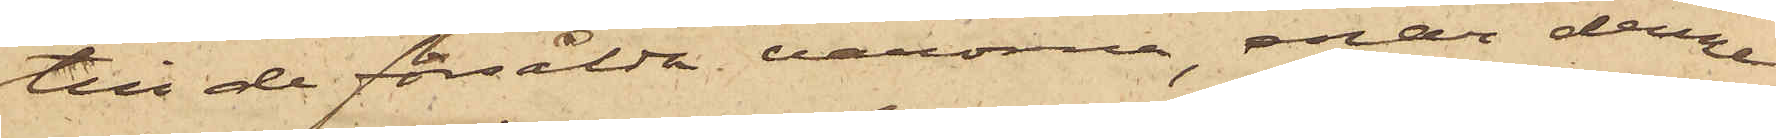till de försålda varorna, enär denne
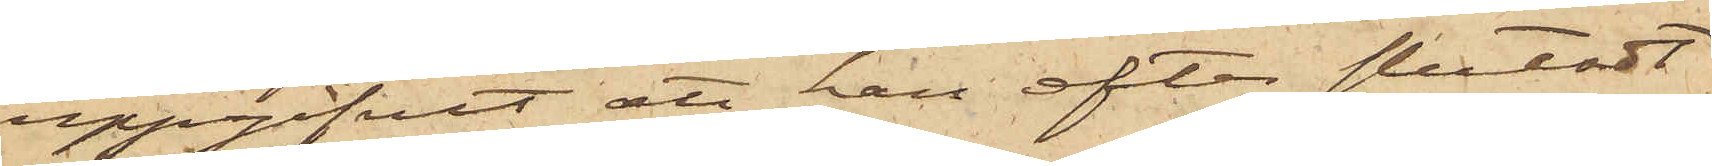uppgifvit att han efter slutadt
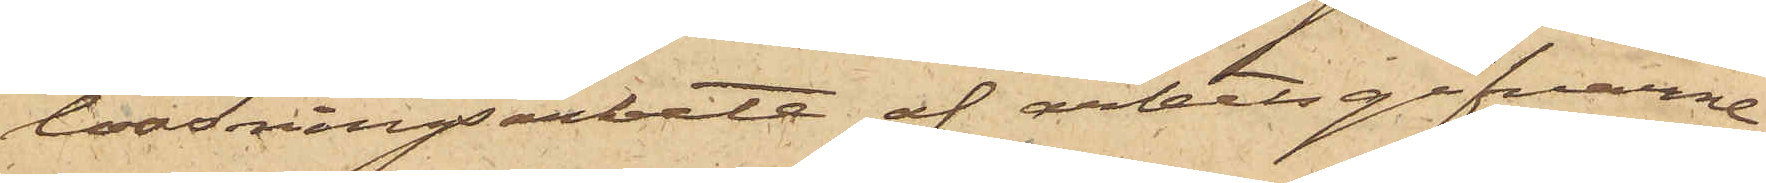lossningsarbete af arbetsgifvarne
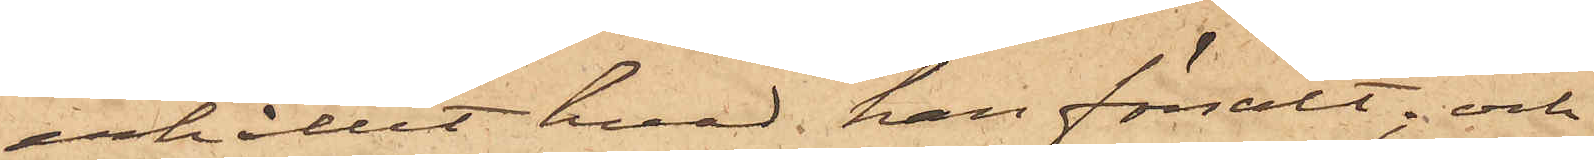erhållit hvad han försålt; och
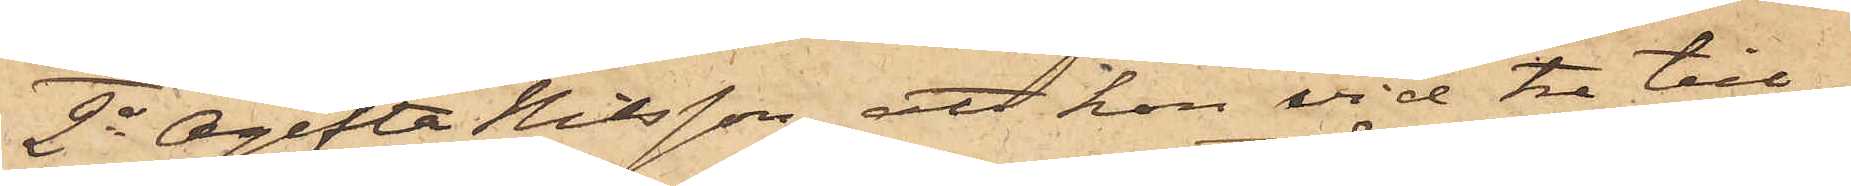2o Ogifta Nilsson, att hon vid tre till¬
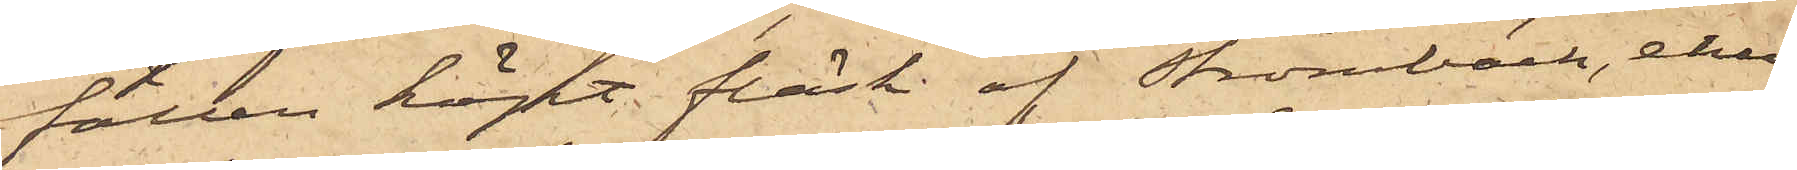fällen köpt fläsk af Strömbäck, ehu¬
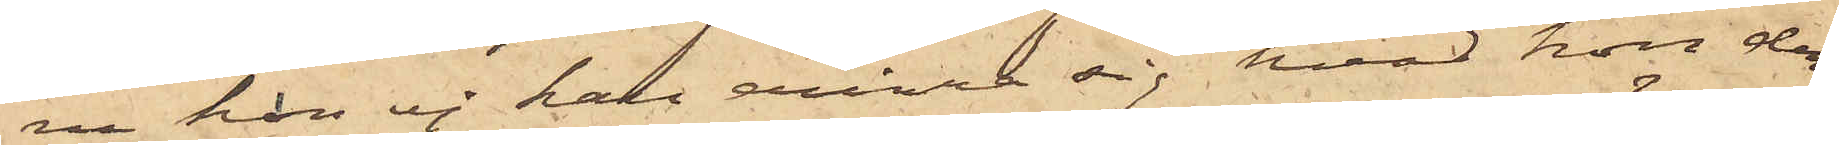ru hon ej kan erinra sig, hvad hon der¬
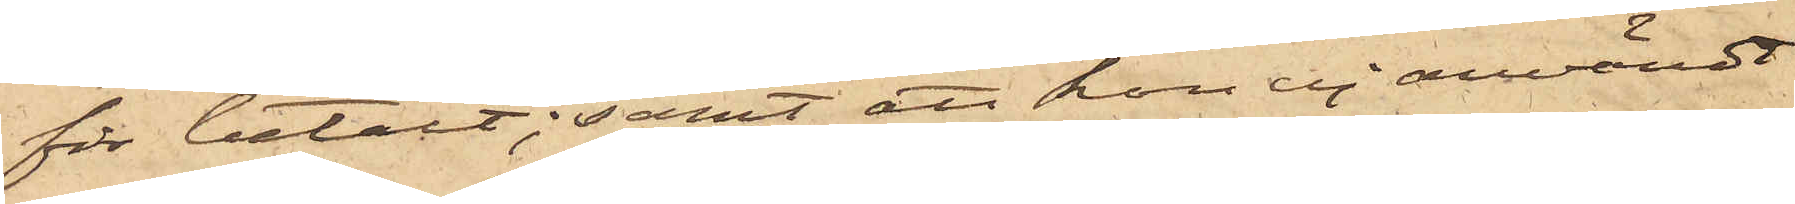för betalt; samt att hon ej användt
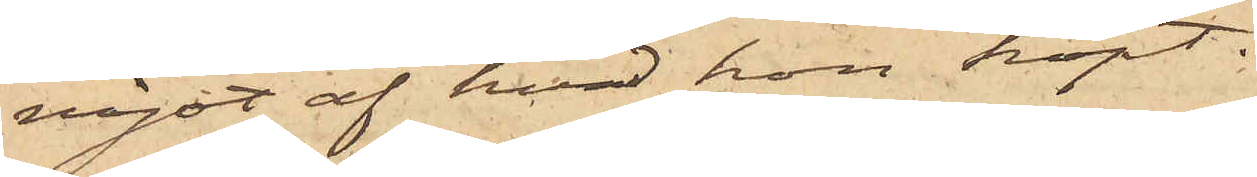något af hvad hon köpt.
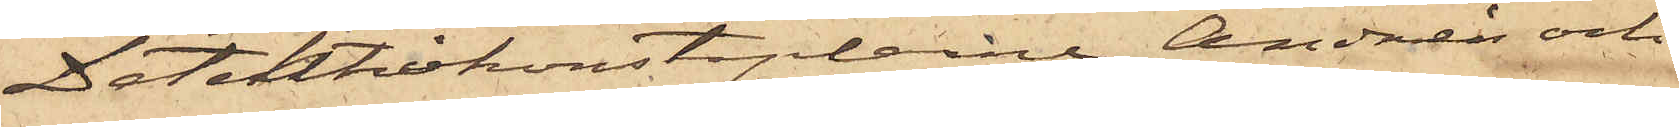Detektivkonstaplarne Andrén och
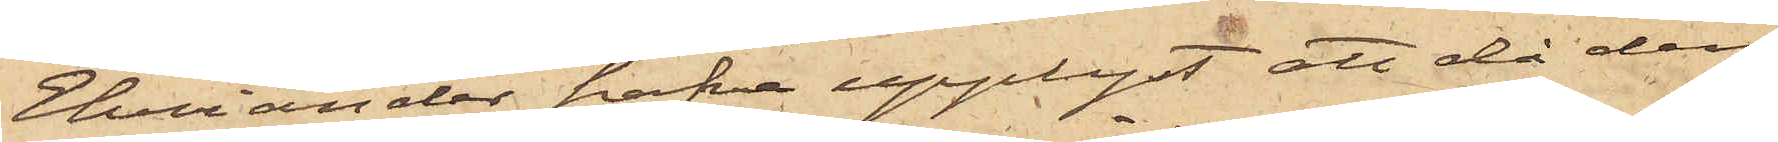Ehriander hafva upplyst, att då den
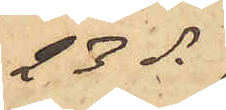23 ds
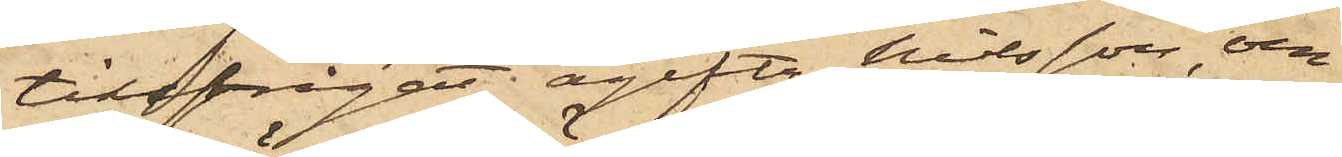tillfrågat ogifta Nilsson om
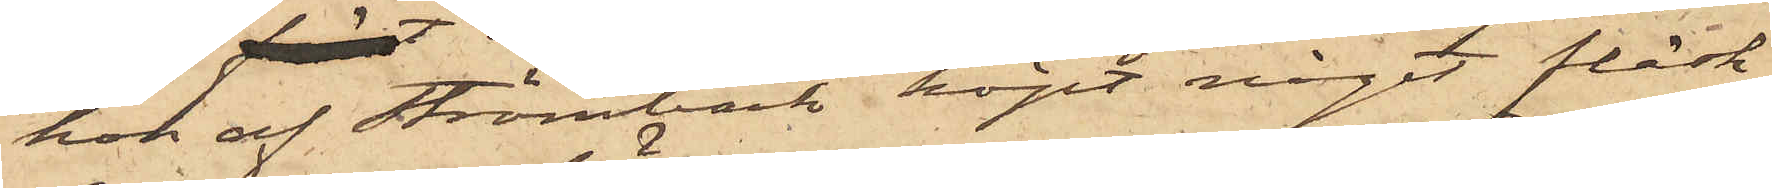hon af Strömbäck köpt något fläsk
